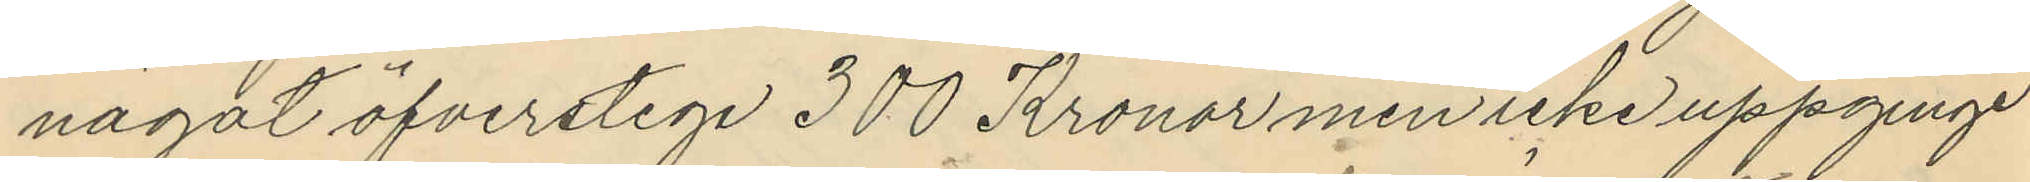något öfverstege 300 Kronor men icke uppginge
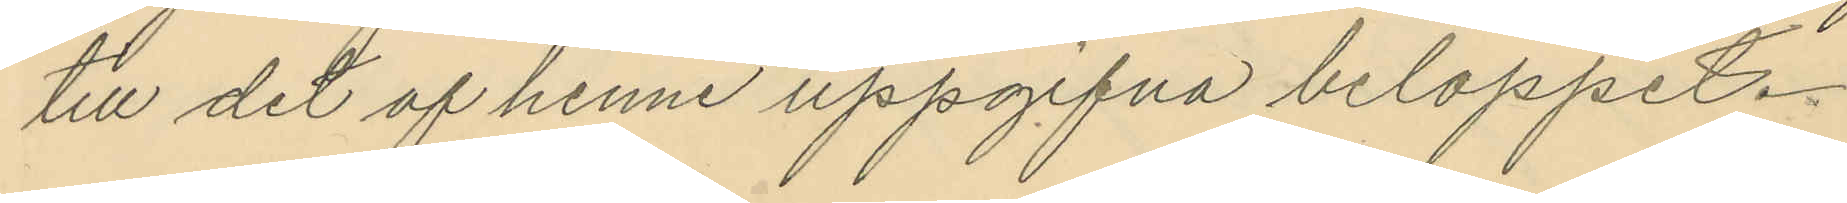till det af henne uppgifna beloppet.
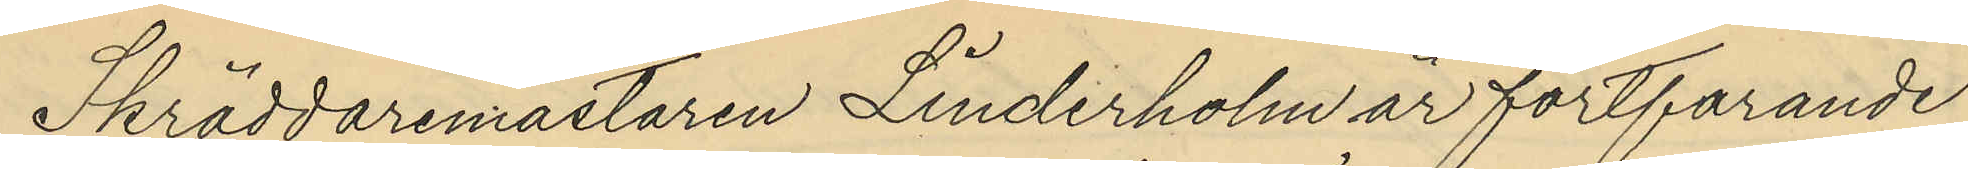Skräddaremästaren Linderholm är fortfarande
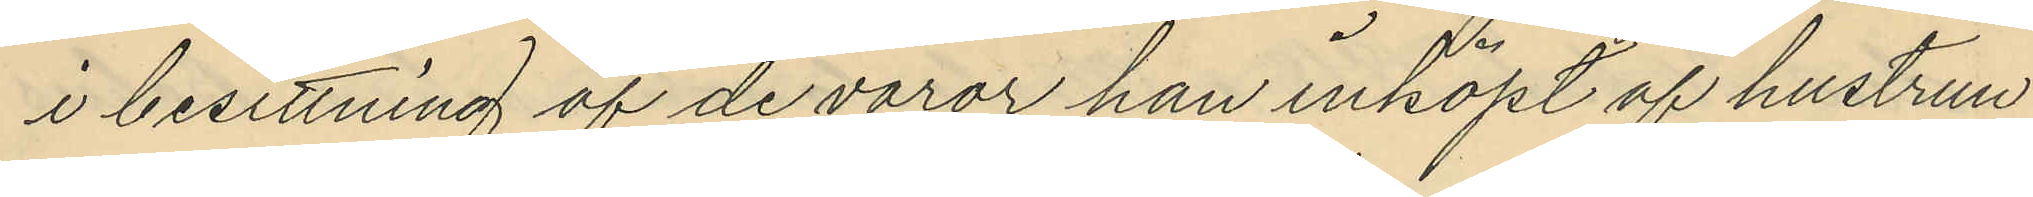i besittning af de varor han inköpt af hustrun
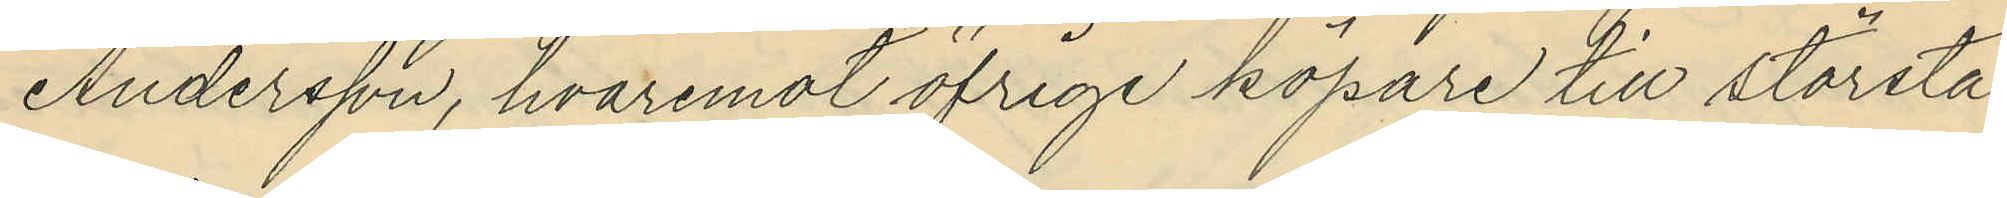Andersson, hvaremot öfrige köpare till största
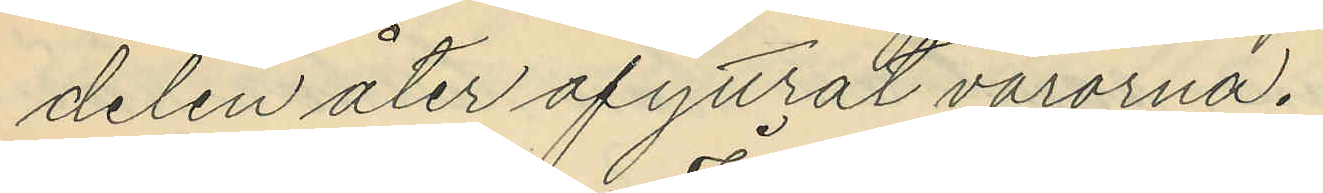delen åter afyttrat varorna.
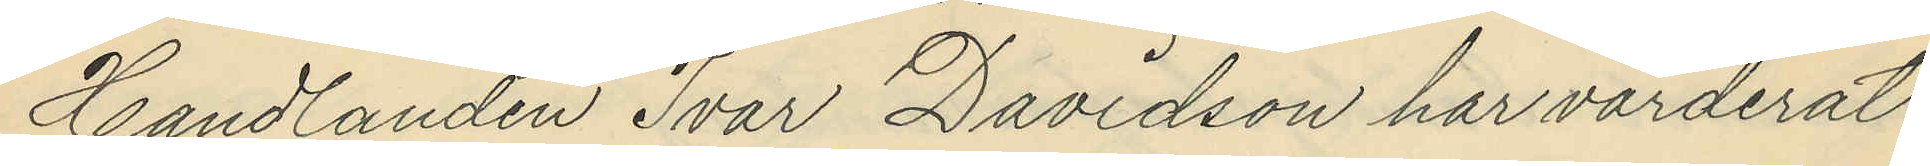Handlanden Ivar Davidson har värderat
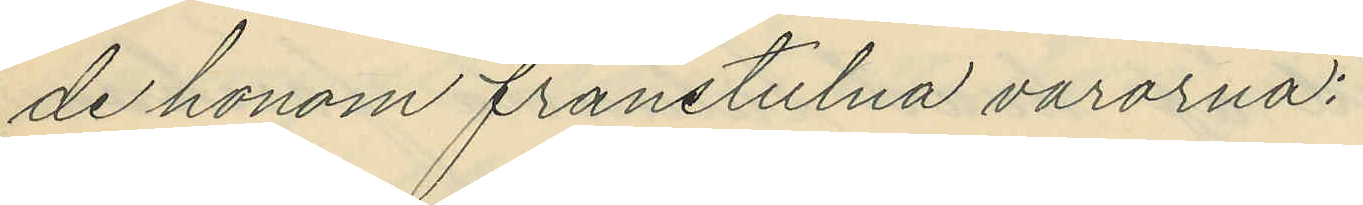de honom frånstulna varorna;
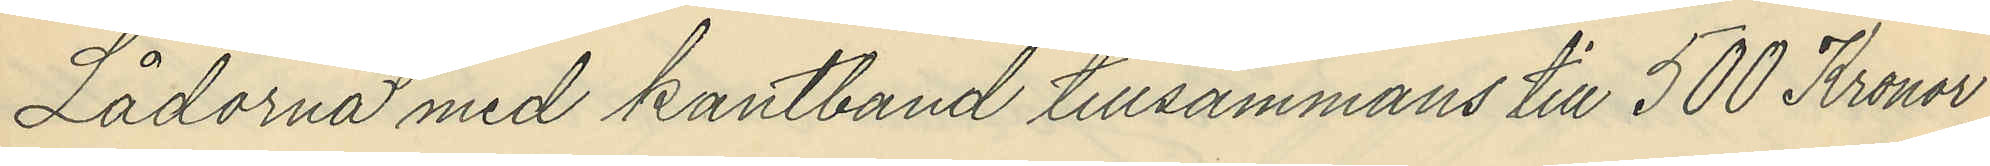Lådorna med kantband tillsammans till 500 Kronor
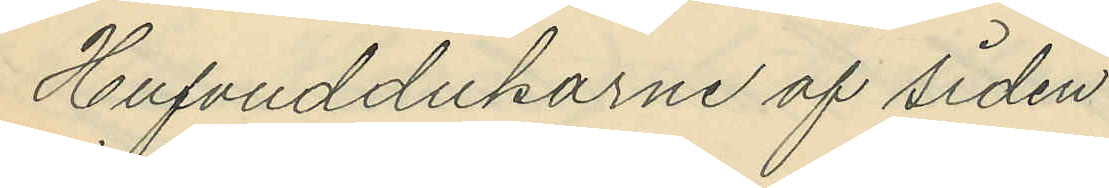Hufvuddukarne af siden
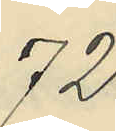72
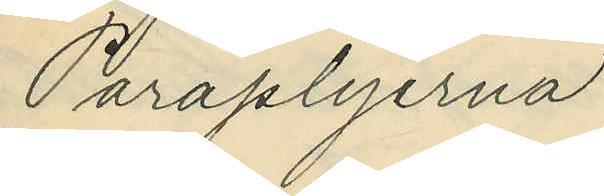Paraplyerna
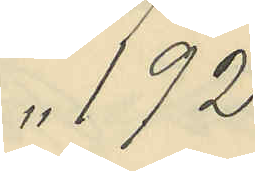" 192
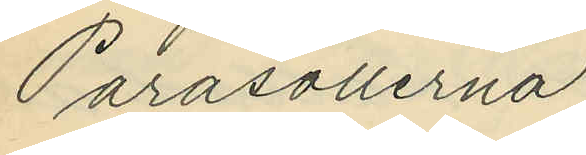Parasollerna
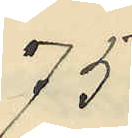75
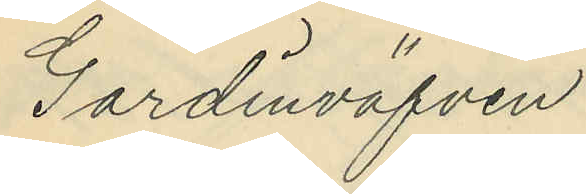Gardinväfven
